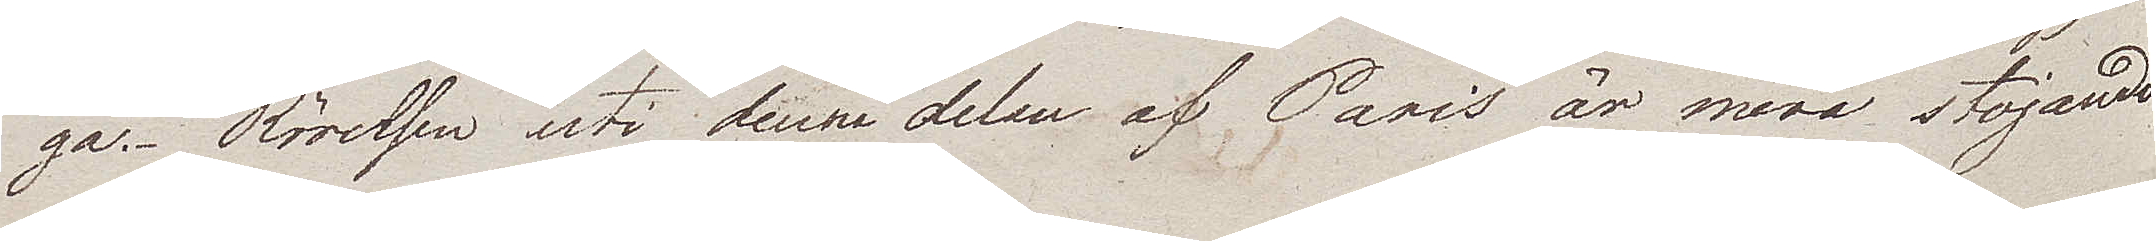ga. Rörelsen uti denna delen af Paris är mera stojande
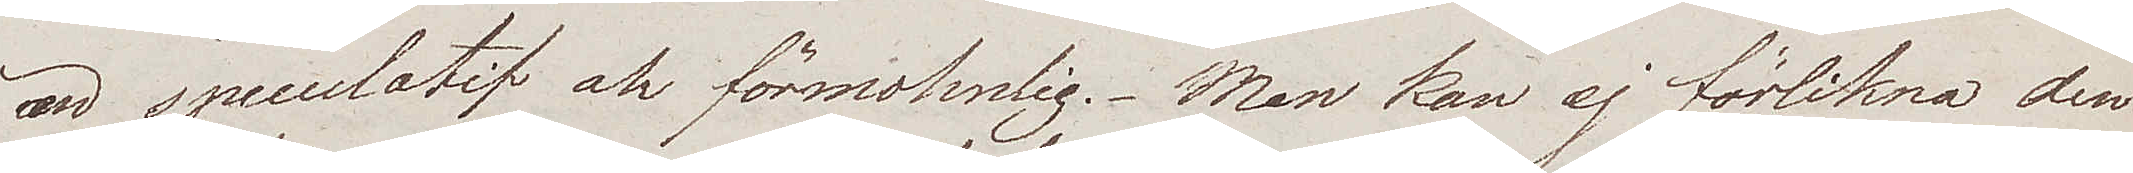än speculatif och förmohnlig. Man kan ej förlikna den
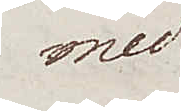med
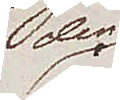den
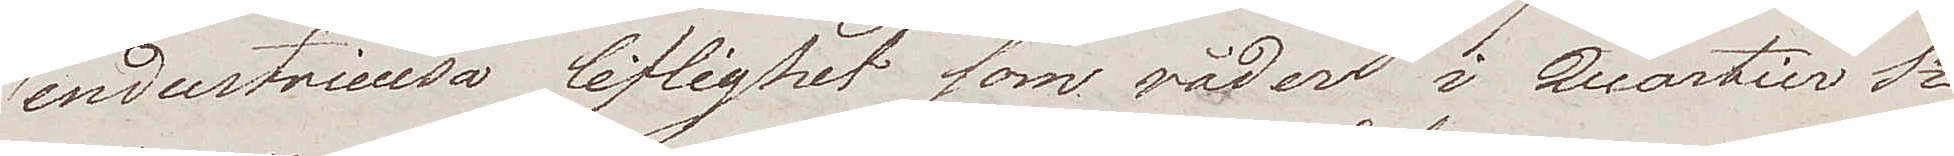industrieusa liflighet som råder i Quartier St
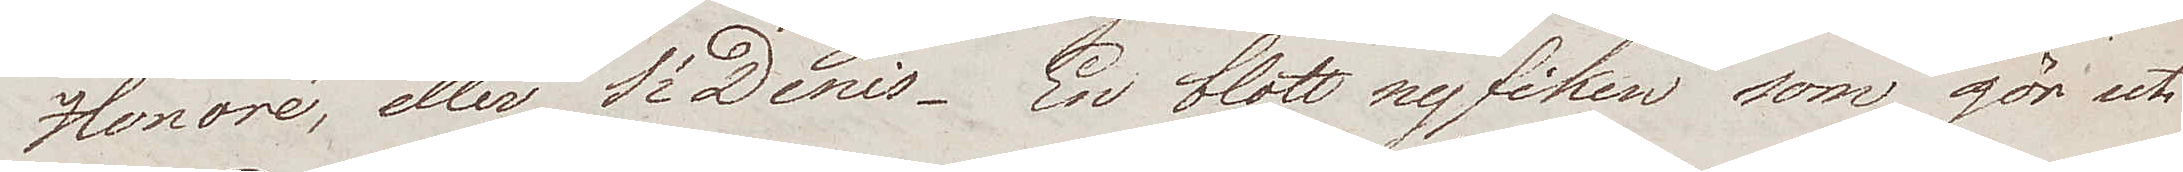Honoré, eller St Denis. En blott nyfiken som gör uti
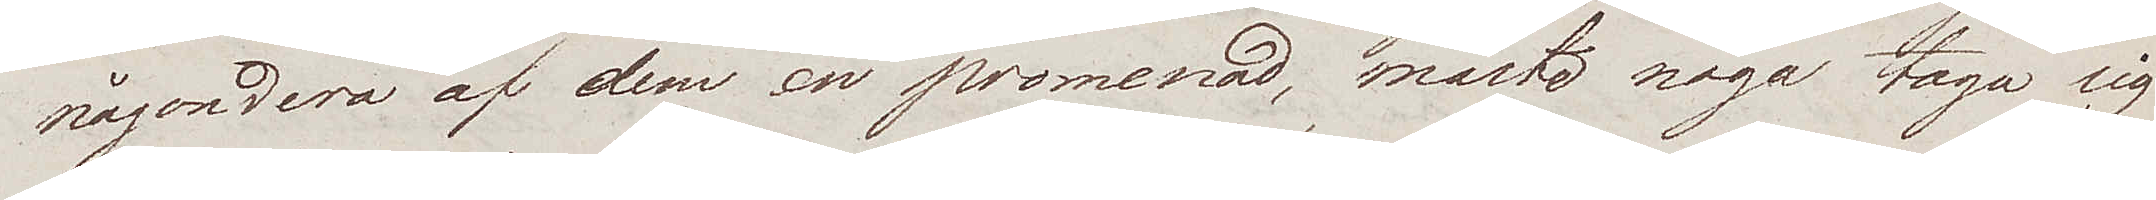någondera af dem en promenad, måste noga taga sig
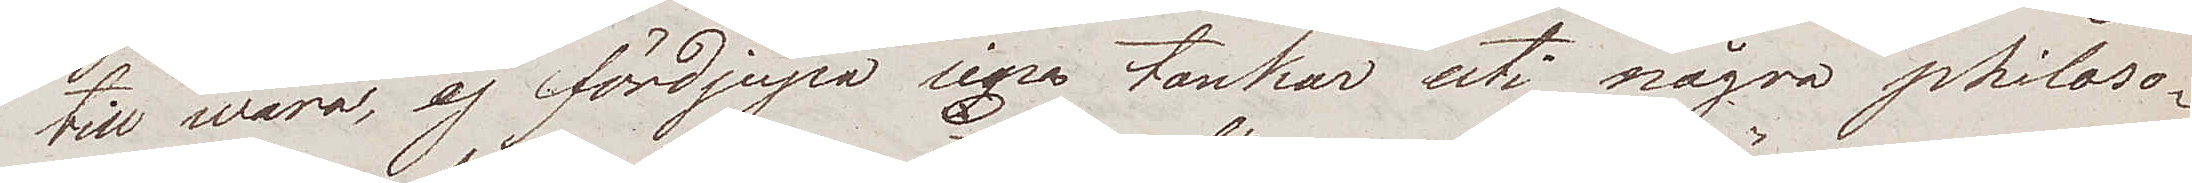till wara, ej fördjupa sina tankar uti några philoso¬
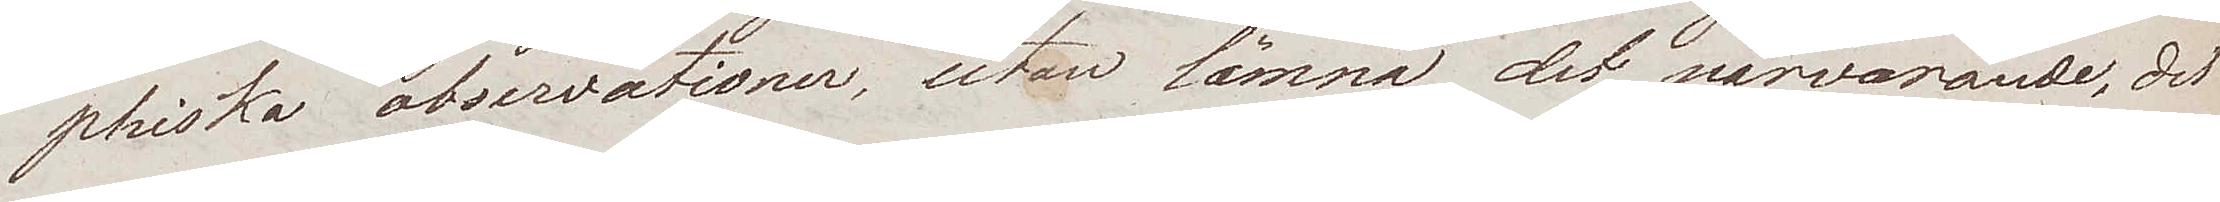phiska observationer, utan lämna det närvarande, det
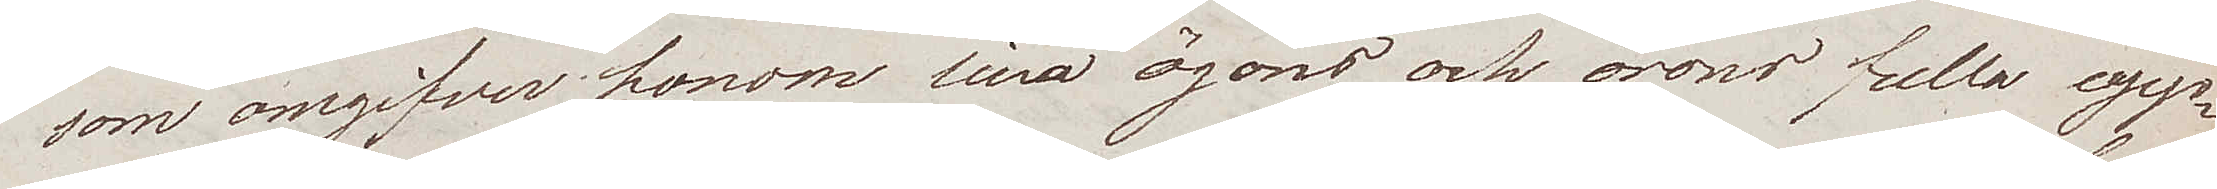som omgifver honom sina ögons och örons fulla upp¬
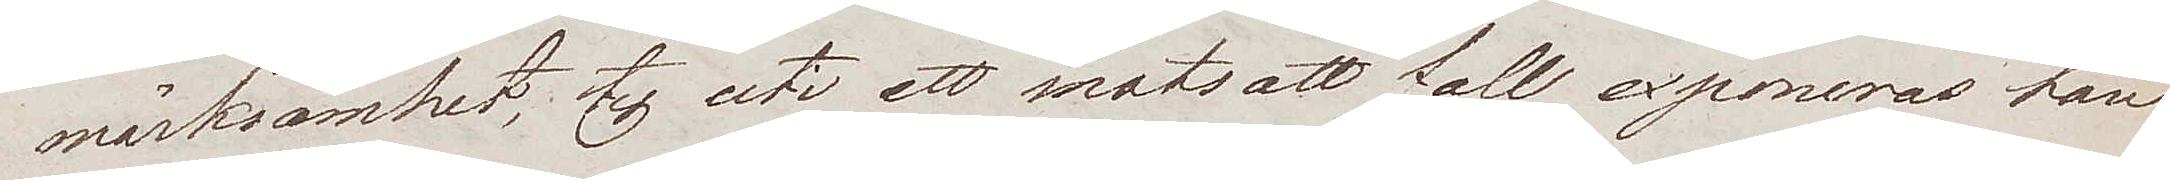märksamhet, ty uti ett motsatt fall exponeras han
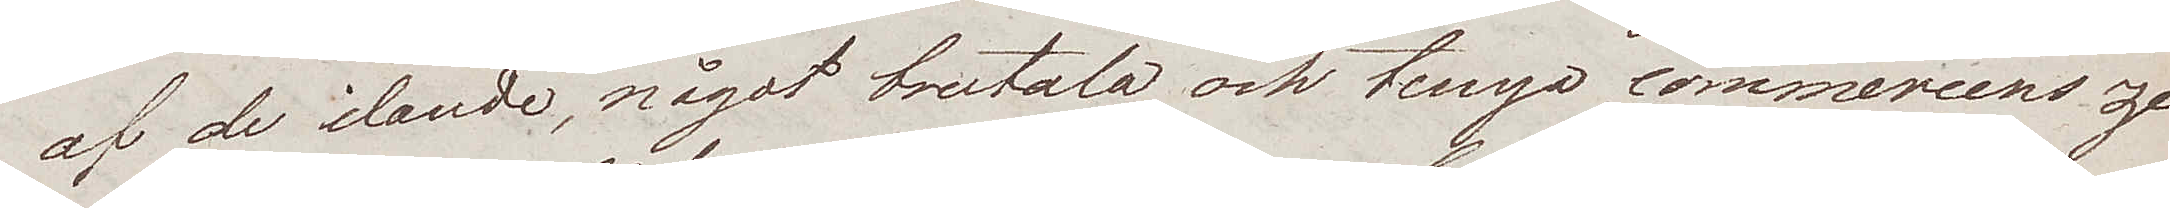af de ilande, något brutala och tunga commercens ze¬
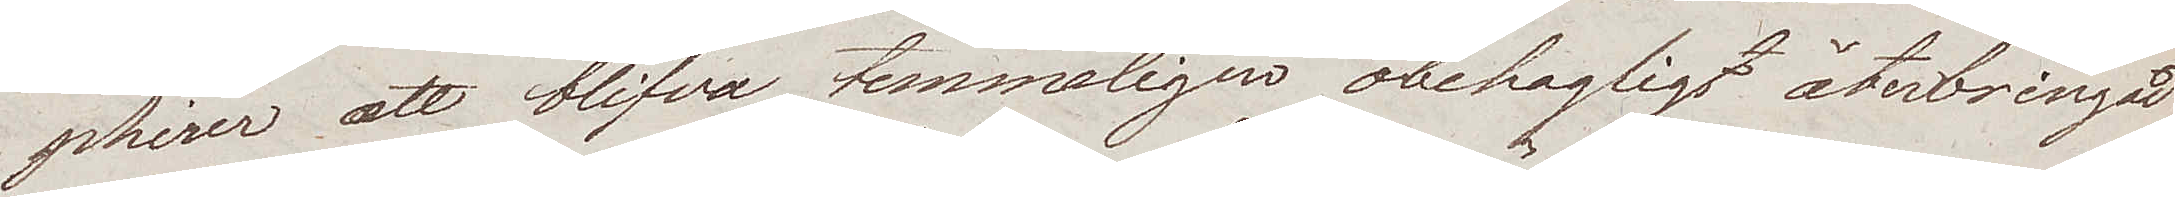phirer att blifva temmeligen obehagligt återbringad
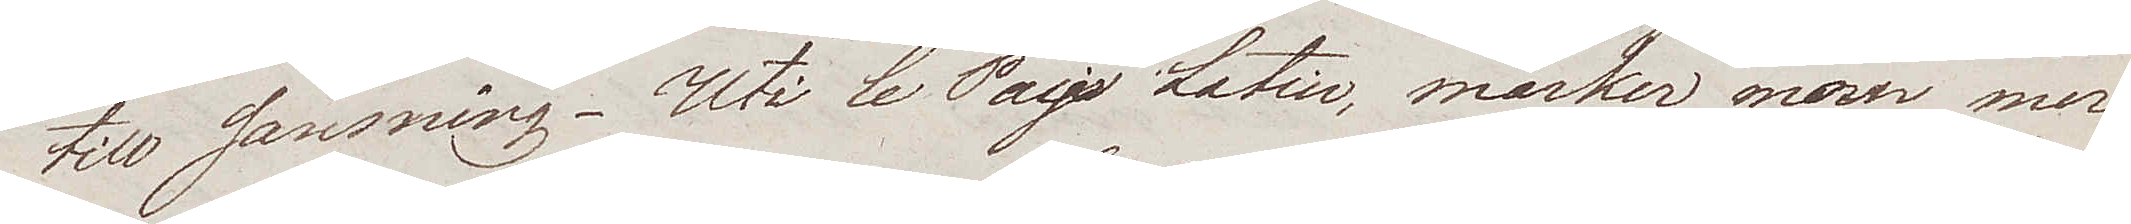till sansning. Uti le Pays Latin, märker man mer
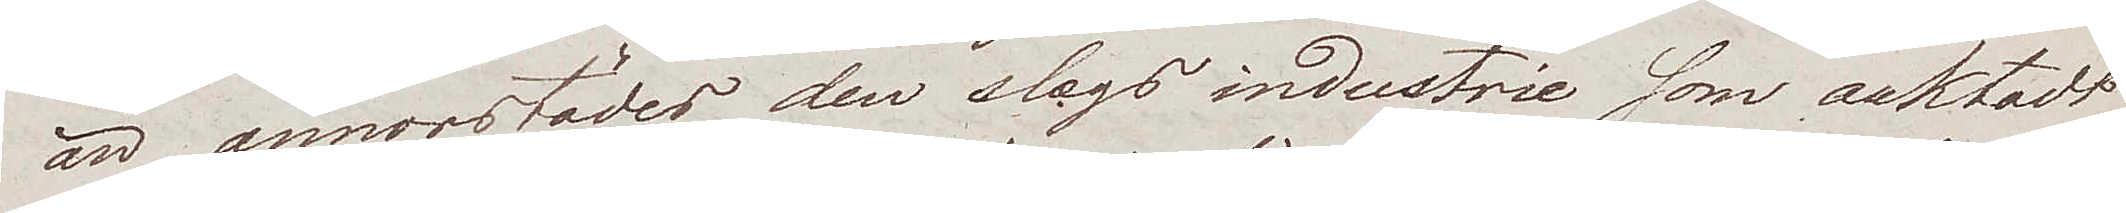än annorstädes, den slags industrie som oaktadt
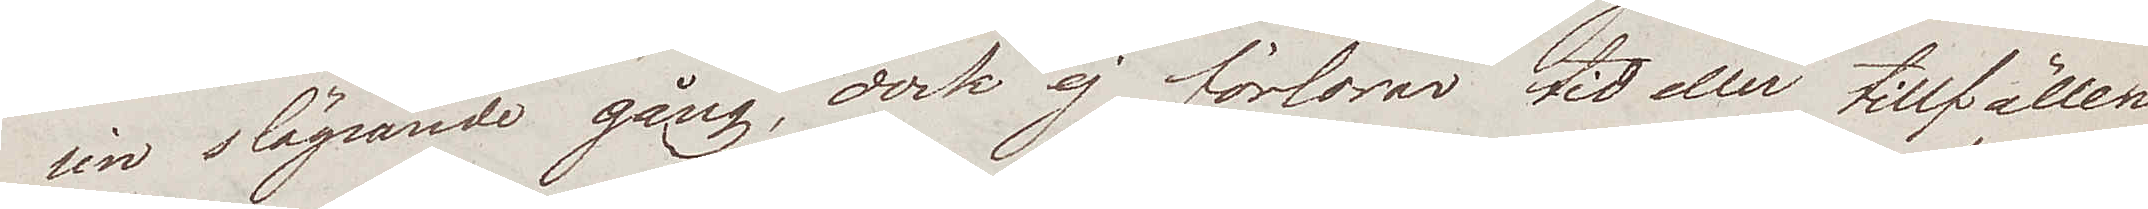sin släpande gång, dock ej förlorar tid eller tillfällen.
